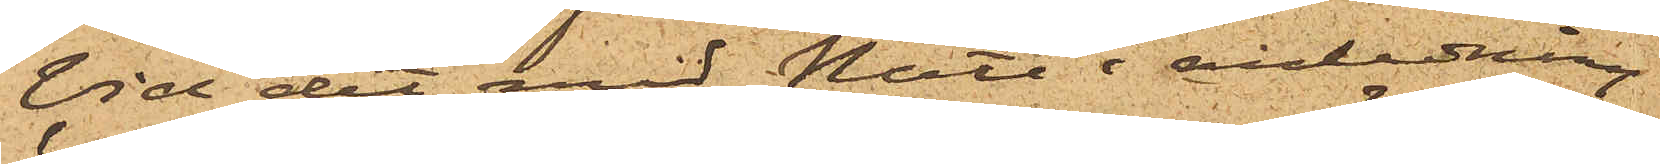Vid det med Nätt i anledning
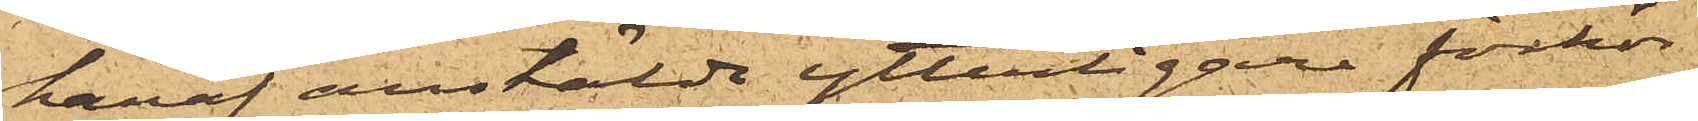häraf anstälde ytterligare förhör
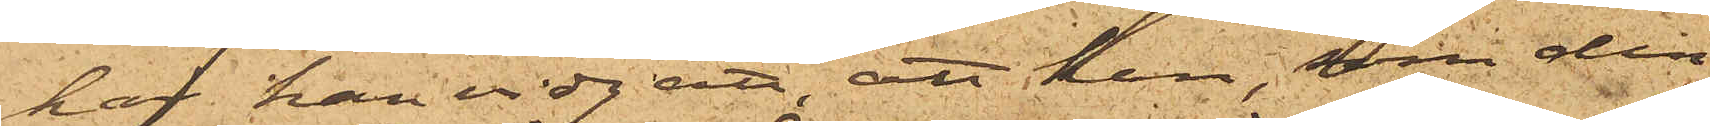har han vidgått, att han, som den
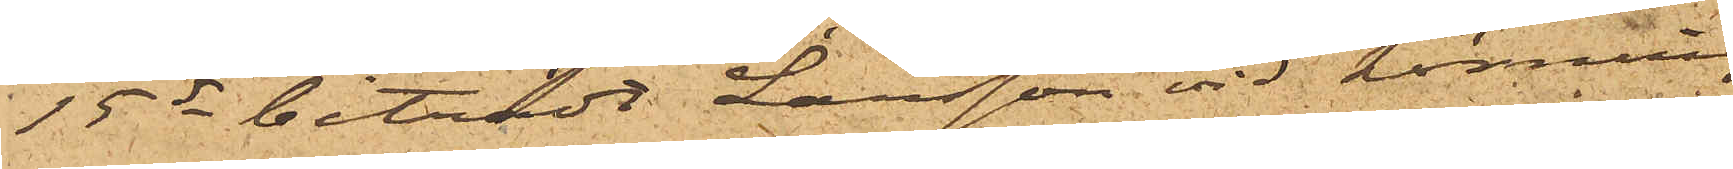15ds biträdt Larsson vid körning
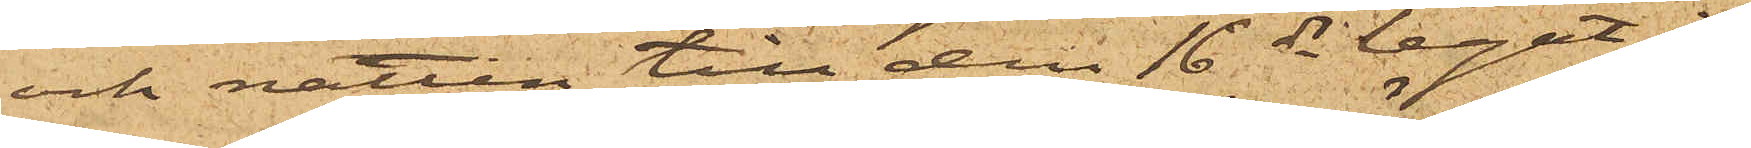och natten till den 16 ds legat i
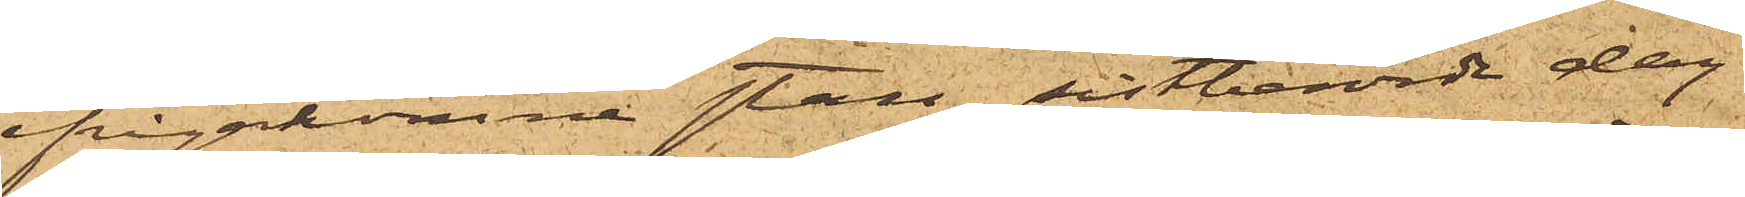ifrågakomne stall, sistberörde dag
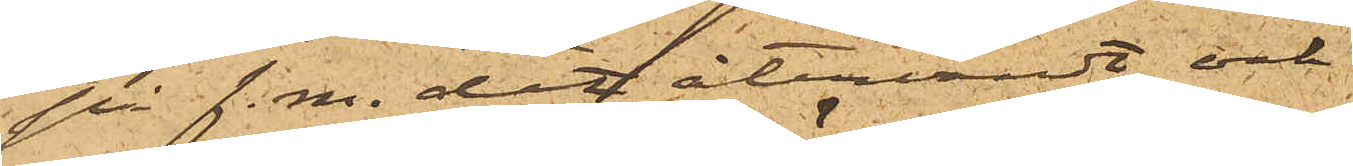på f.m. dit återvändt och
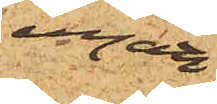ingått
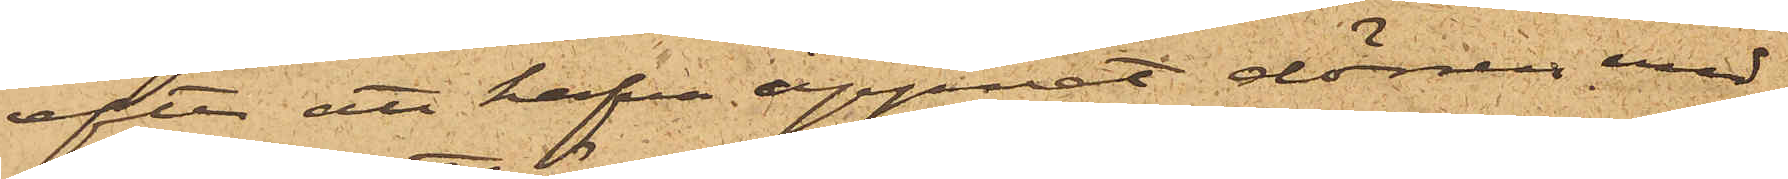efter att hafva öppnat dörren med
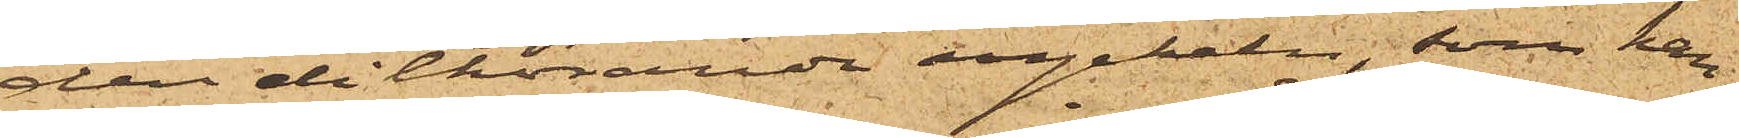den dithörande nyckeln, som han
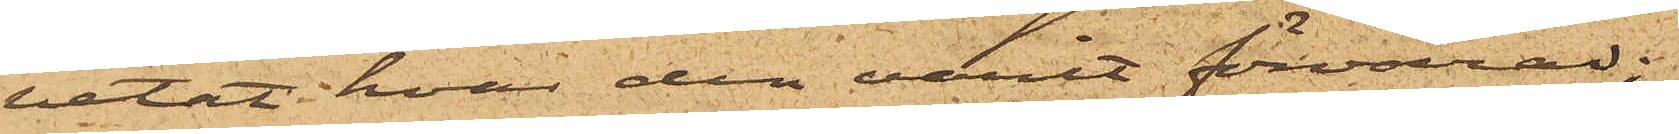vetat hvar den varit förvarad;
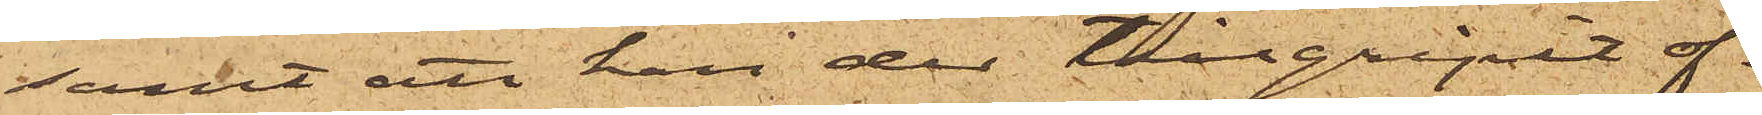samt att han der tillgripit of¬
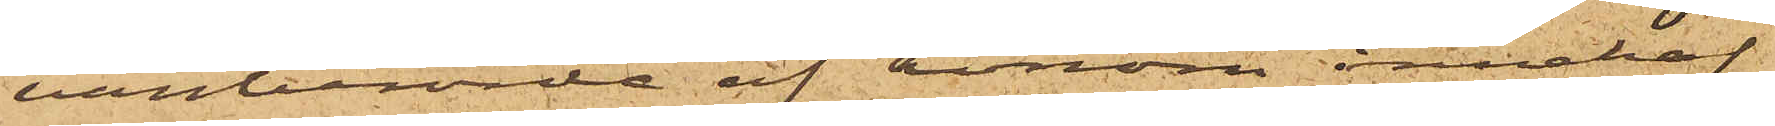vanberörde af honom innehaf¬
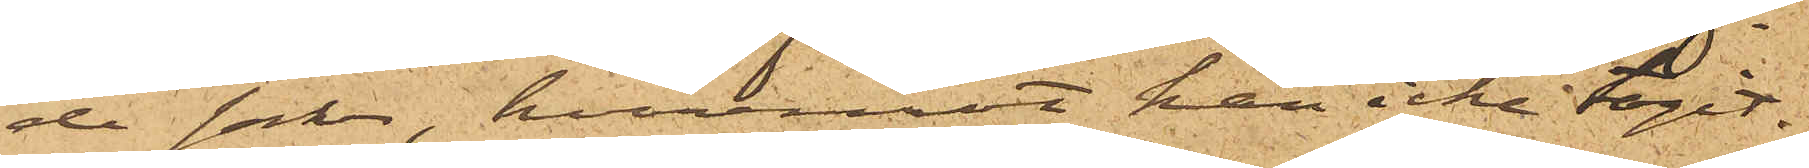de saker, hvaremot han icke tagit
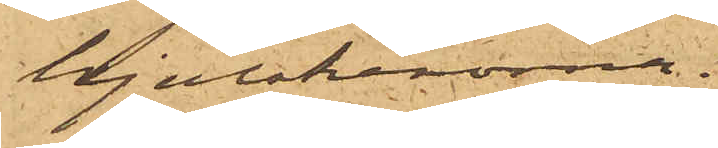hjulskenorna.
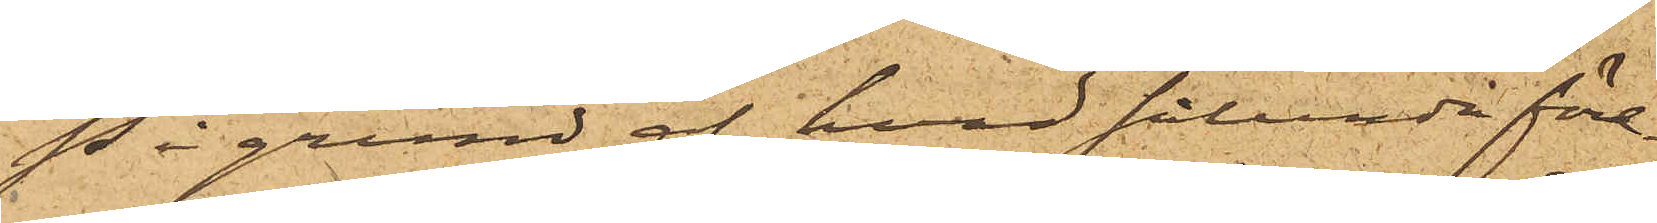På grund af hvad sålunda före¬
